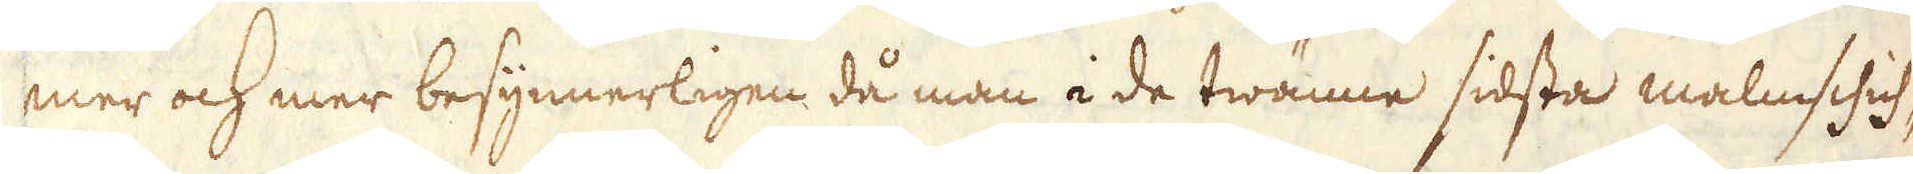mer och mer besynnerligen då man i de twänne sidsta malmschich-
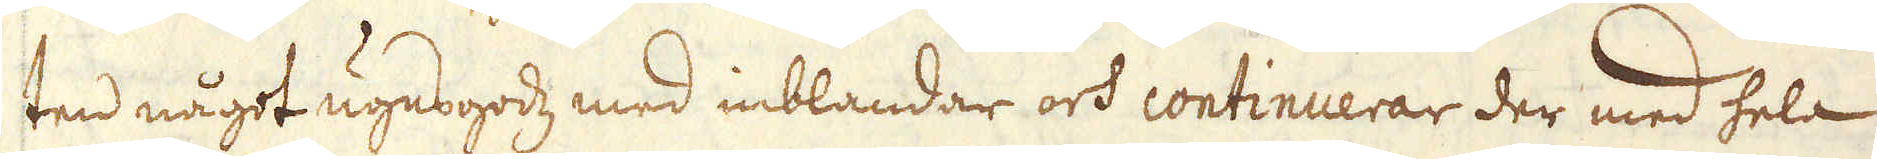ten något ugnsgodz med inblandar och continuerar der med hela
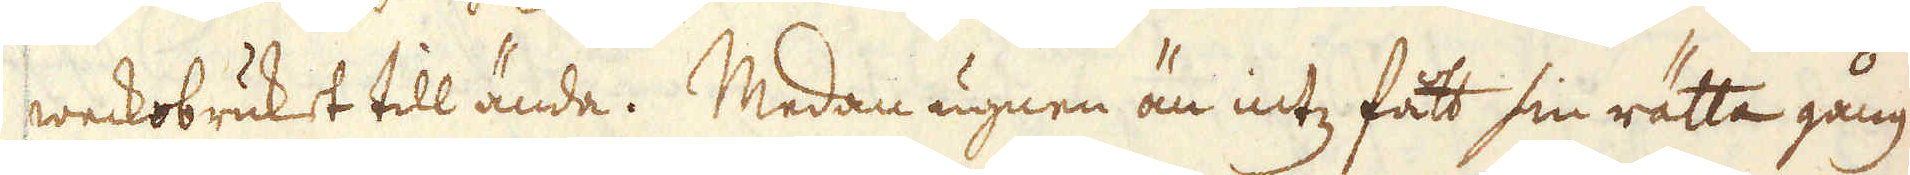weckobruket till ända. Medan ugnen än intz fatt sin rätta gång
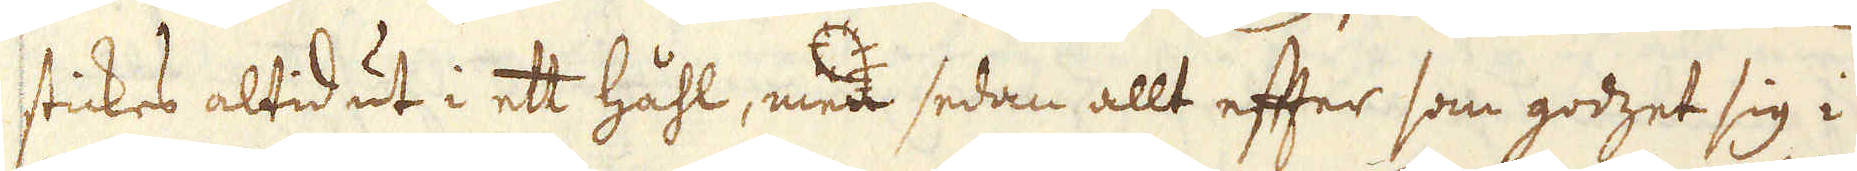stickes altid ut i ett håhl, men sedan allt efter som godzet sig i
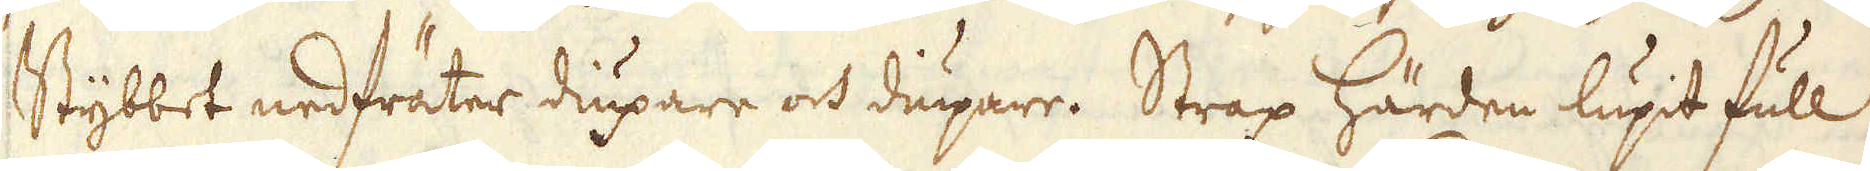Stybbet nedfräter diupare och diupare. Strax härden lupit full
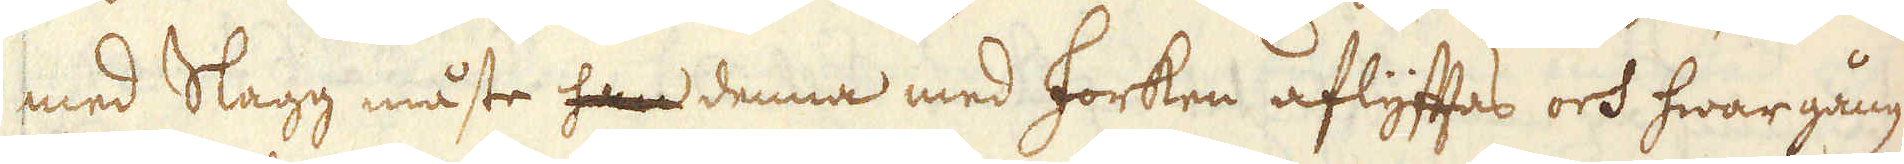med Slagg måste han denna med forken aflyftas och hwargång
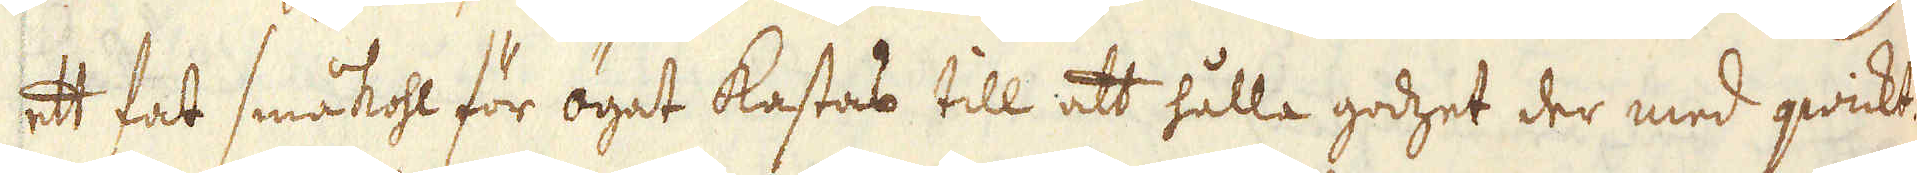ett fat småkohl för ögat kastas till att hålla godzet der med qwickt.
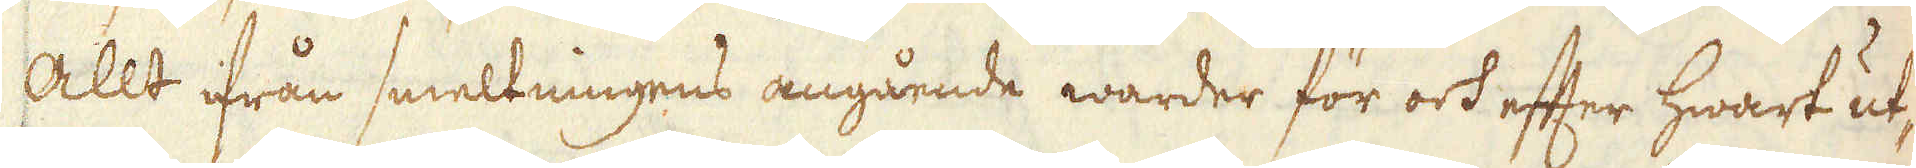Allt ifrån smeltningens angående warder för och efter hwart ut-
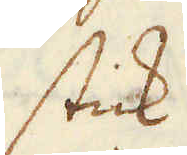stick
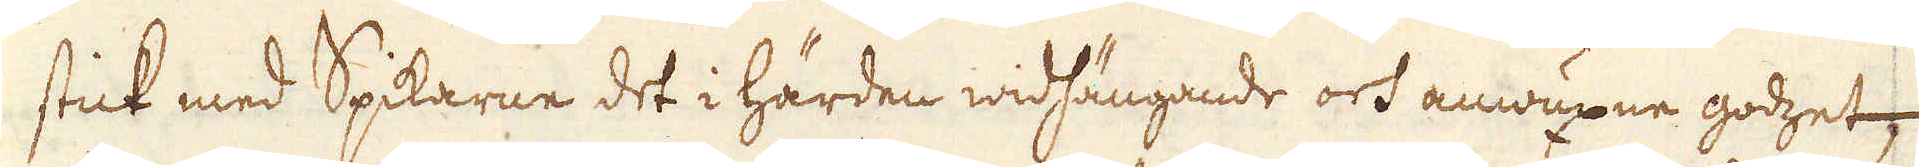stick med Spikarne det i härden widhängande och anwuxne godzet
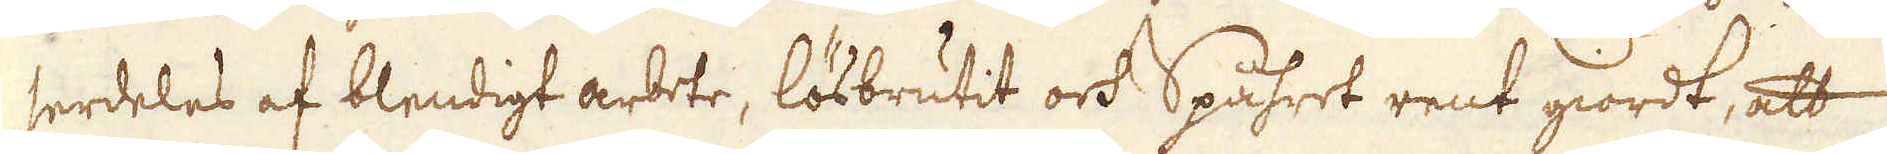serdeles af blendigt arbete, lösbrutit och Spåhret rent giordt, att
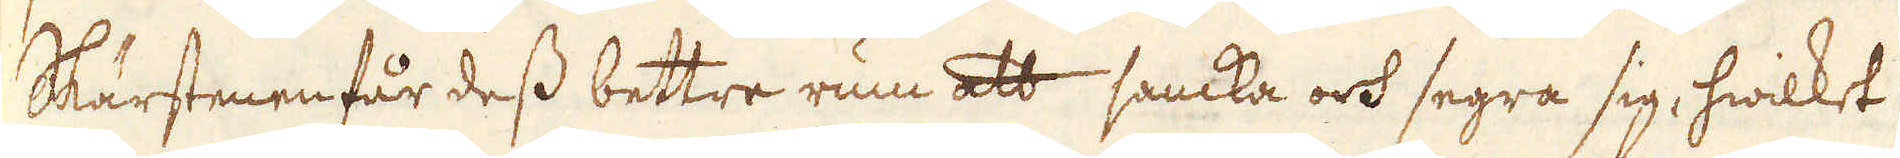Skärstenen får dess bettre rum att samka och segra sig, hwilket
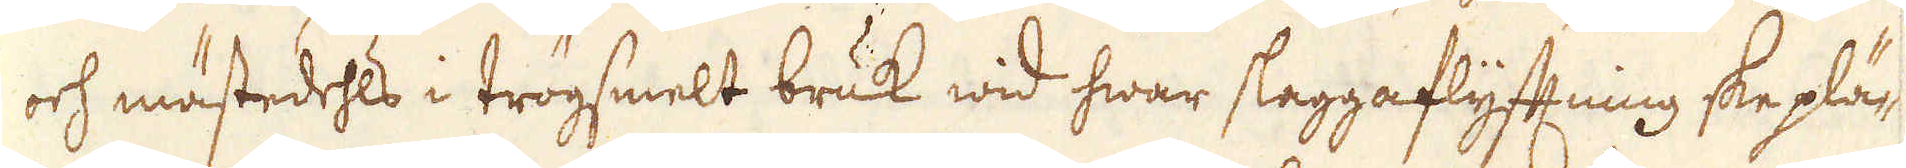och mästedehls i trögsmelt bruk wid hwar slaggaflyftning ske plä-
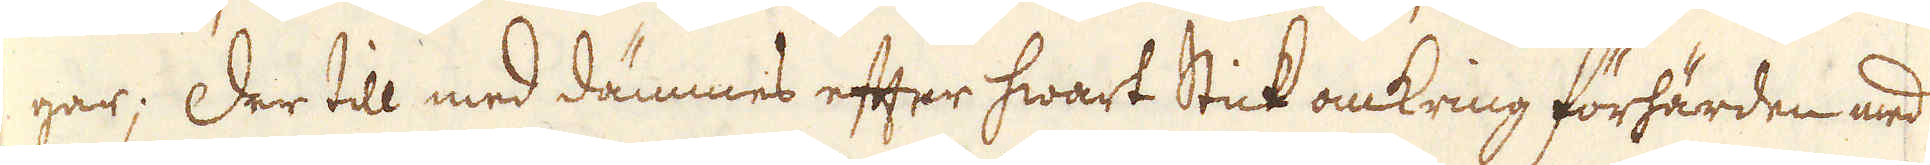gar; Der till med dämmes efter hwart Stick omkring förhärden med
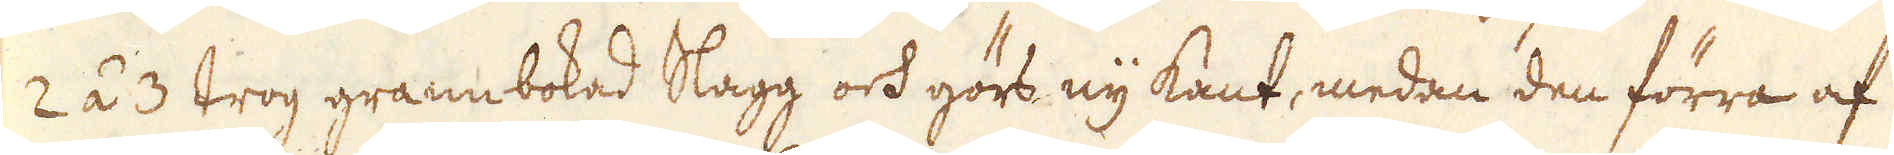2 á 3 trog grannbokad Slagg och görs ny kant, medan den förra af
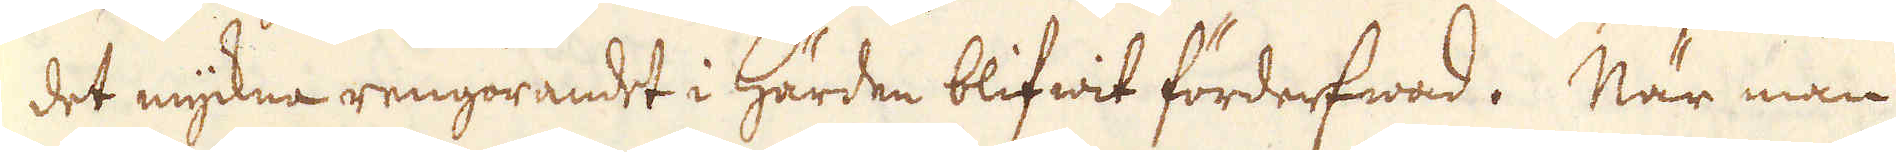det myckna rengörandet i härden blifwit förderfwad. När man
